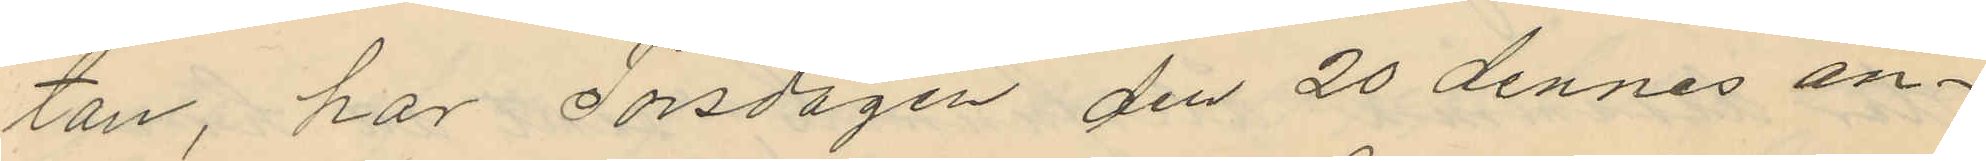tan, har Torsdagen den 20 dennes an¬
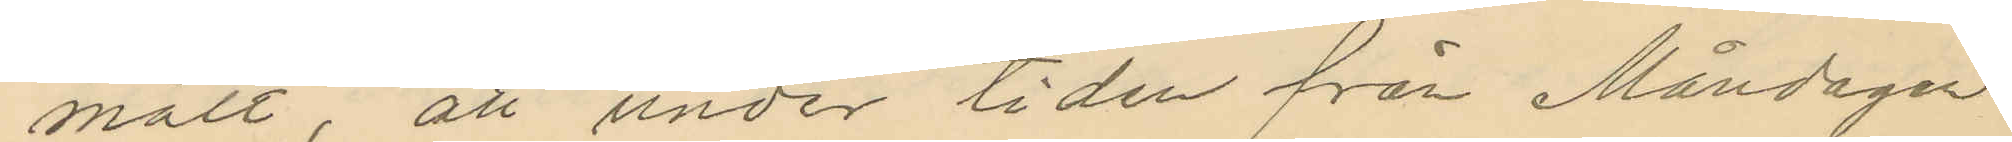mält, att under tiden från Måndagen
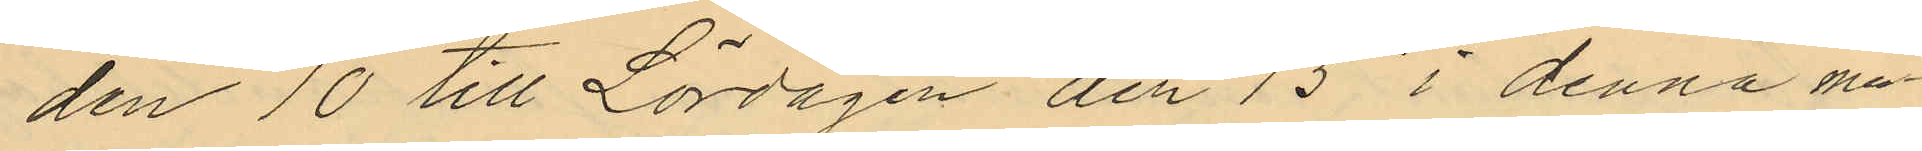den 10 till Lördagen den 15 i denna må¬
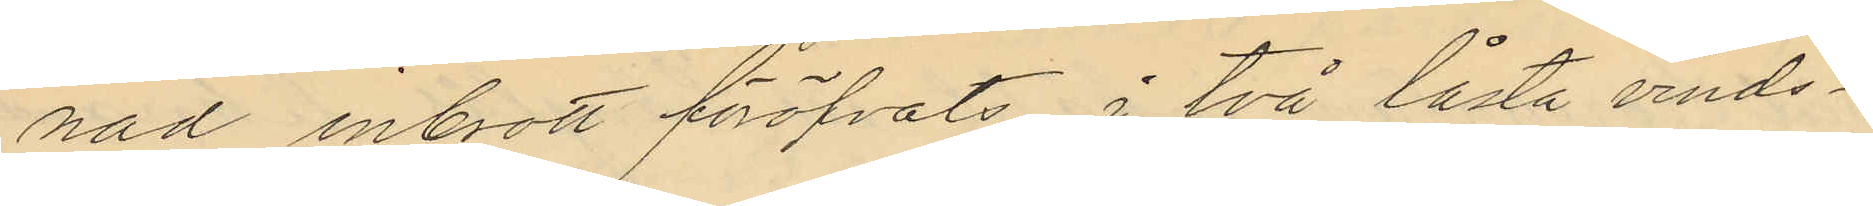nad inbrott föröfvats i två låsta vinds¬
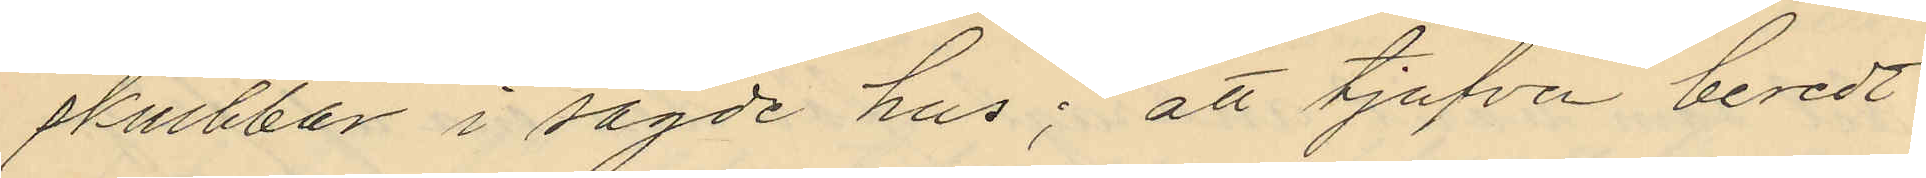skrubbar i sagde hus; att tjufven beredt
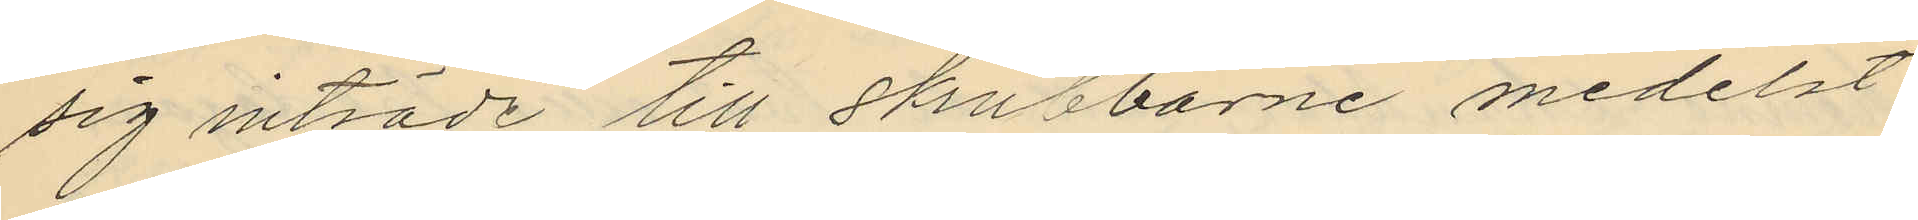sig inträde till skrubbarne medelst
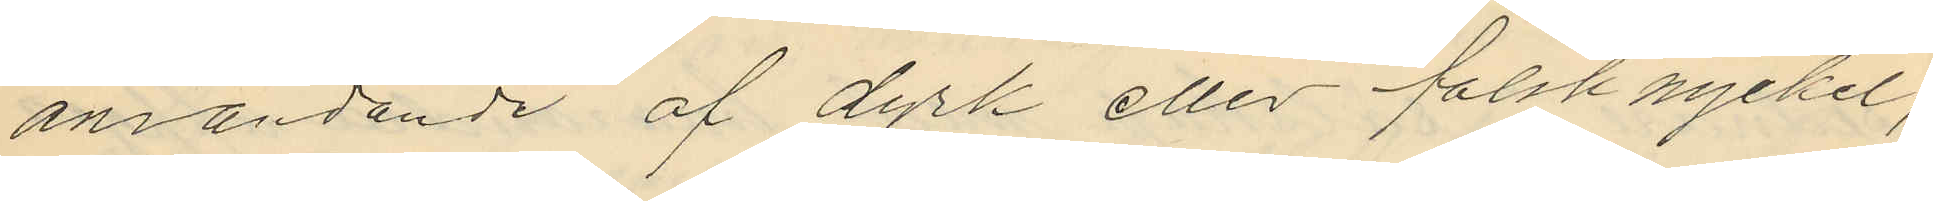användande af dyrk eller falsk nyckel;
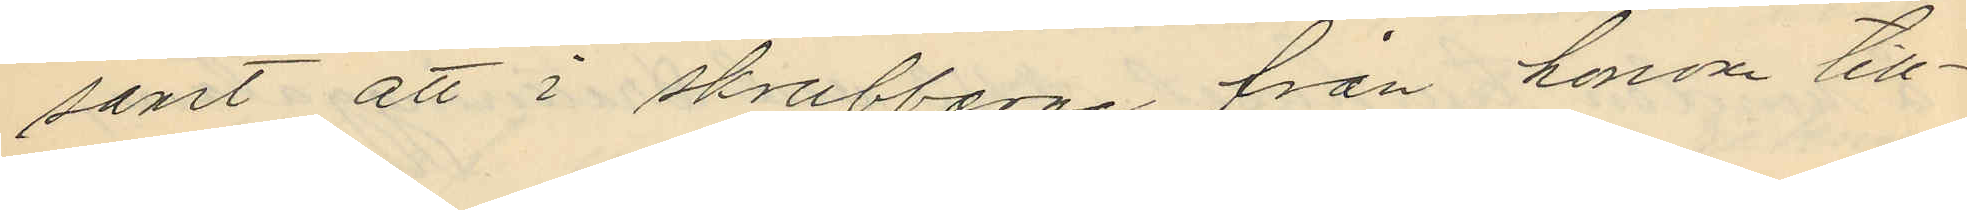samt att i skrubbarne från honom till¬
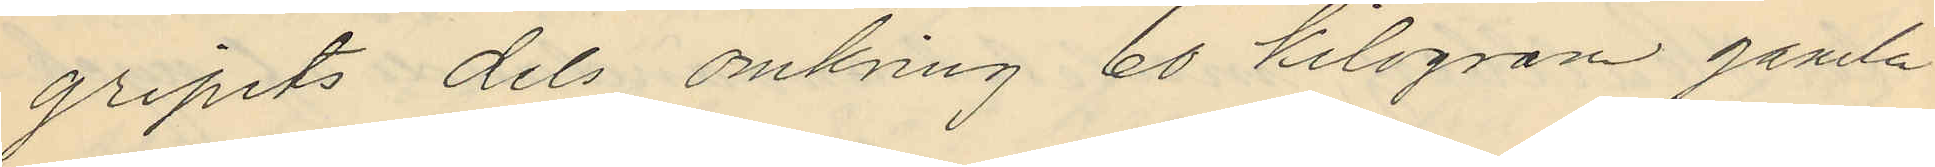gripits dels omkring 60 kilogram gamla
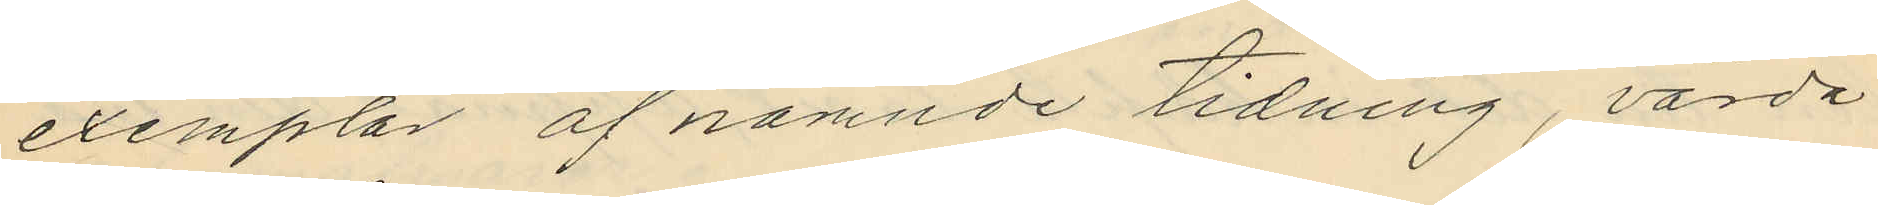exemplar af nämnde tidning, värda
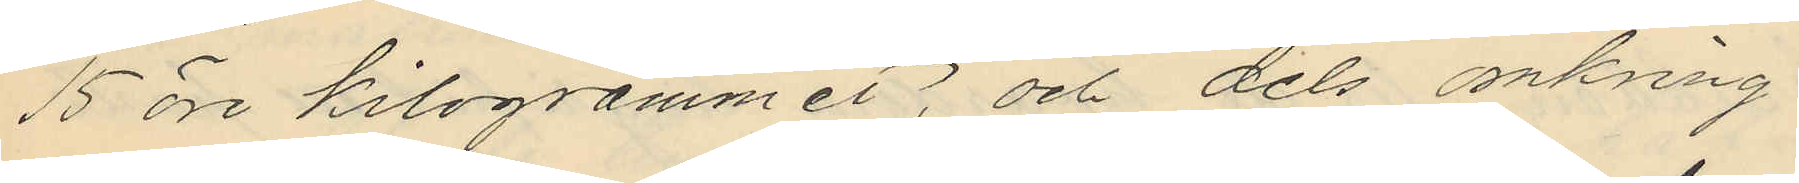15 öre kilogrammet; och dels omkring
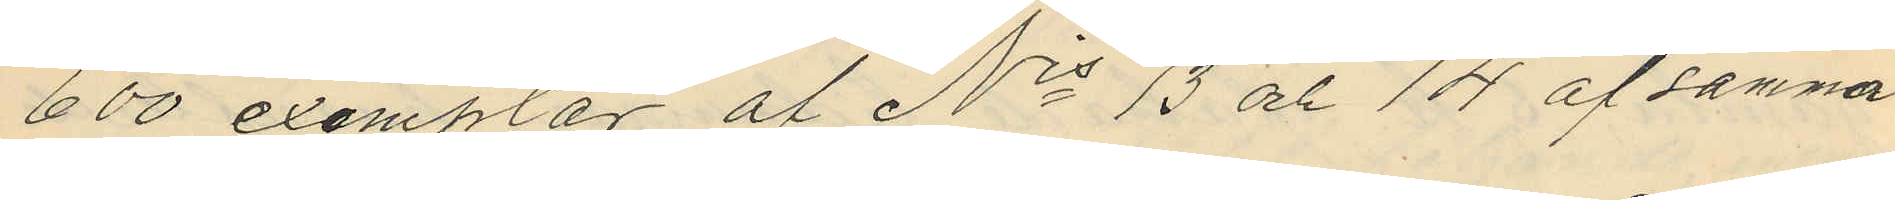600 exemplar af Nrs 13 och 14 af samma
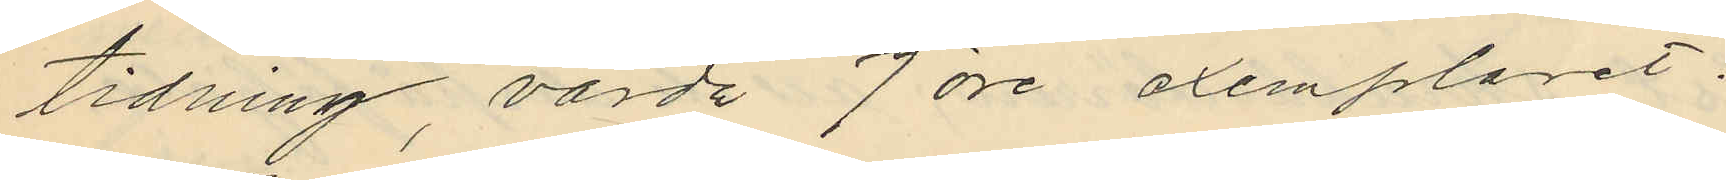tidning, värda 7 öre exemplaret.
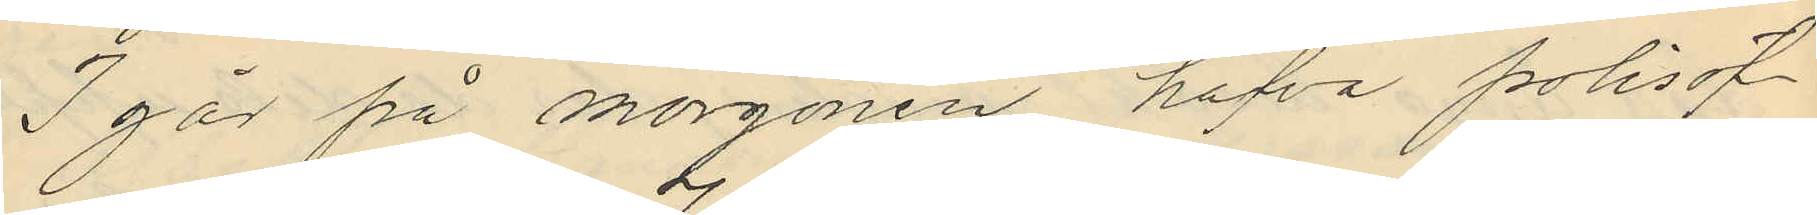I går på morgonen hafva polisöf¬
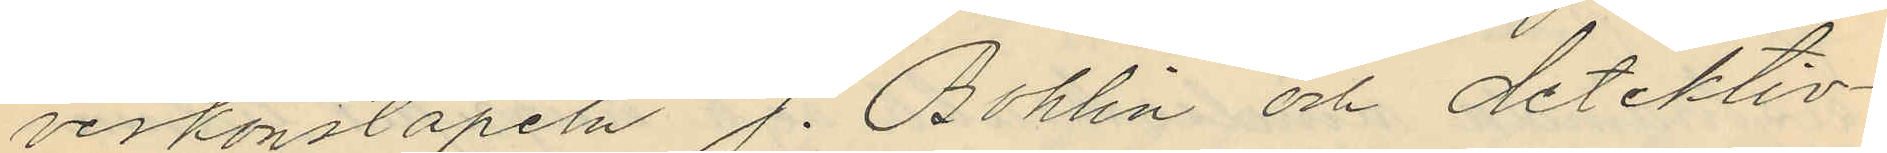verkonstapeln J. Bohlin och detektiv¬
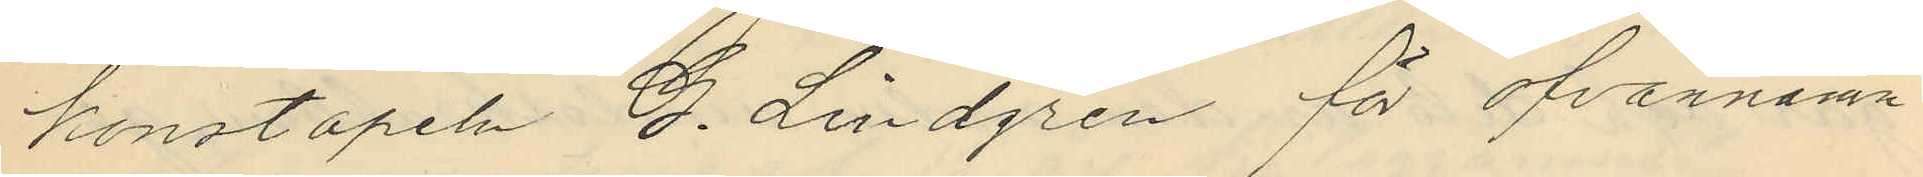konstapeln G. Lindgren för ofvannämn¬
